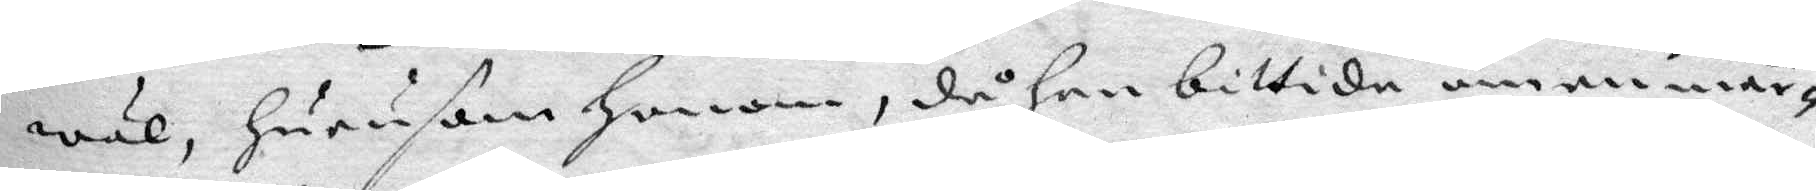wäl, hurusom honom, då han bittida om en mår¬
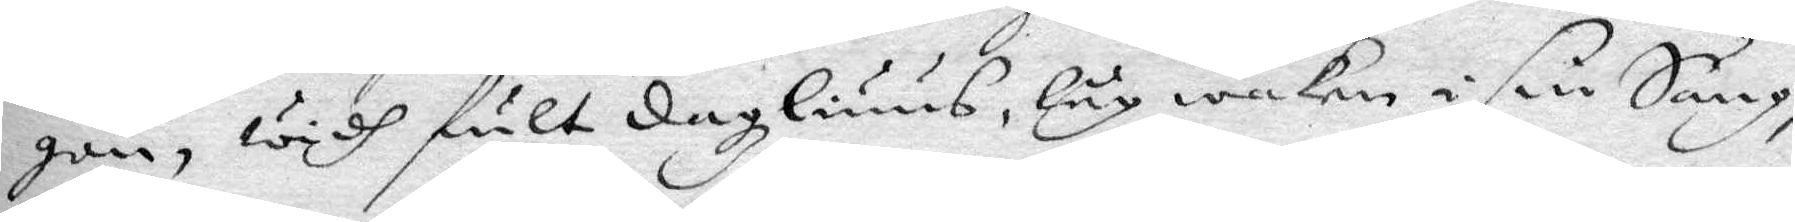gon, widh fult dagzliuus, låg waken i sin Säng,
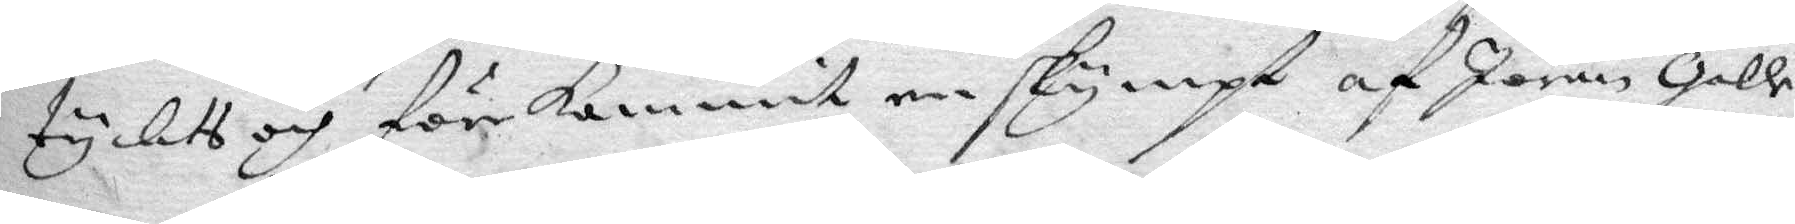tychts och förekommit en skympt af Jöran galle
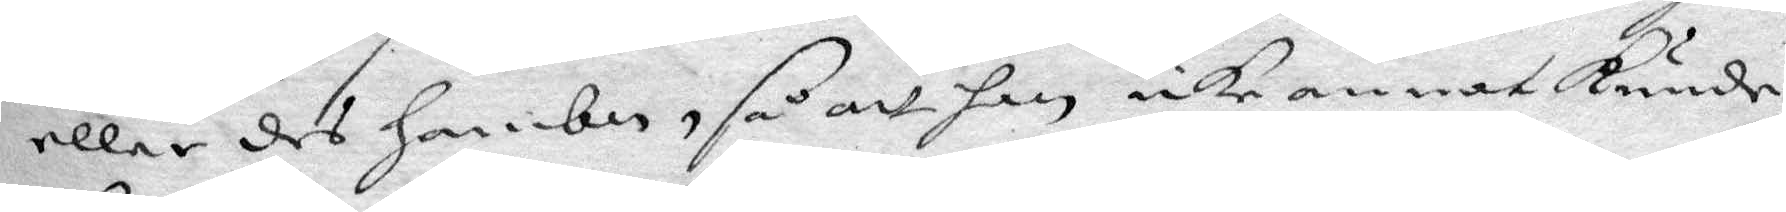eller des hambn, så att han icke annat kude
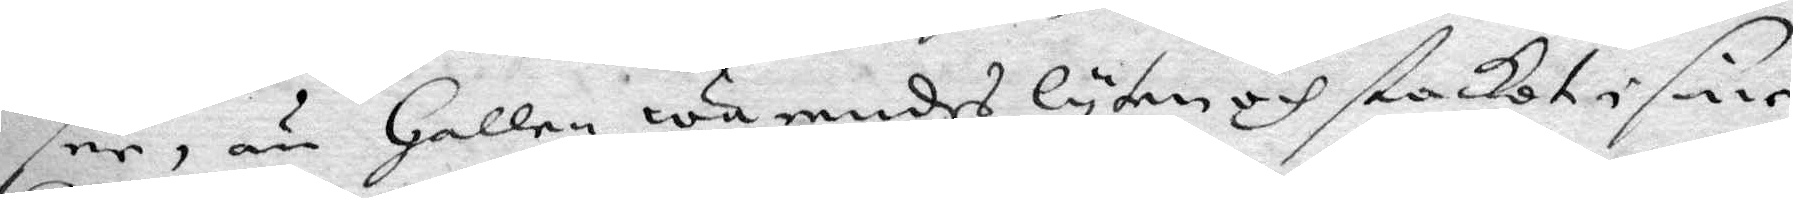see, än Gallen warendes lyten och stackot i sine
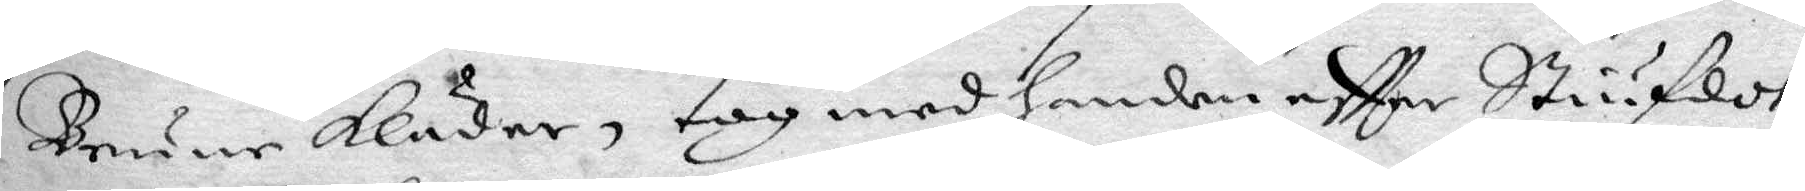Brune Kläder, tog med handen efter Stiufdot¬
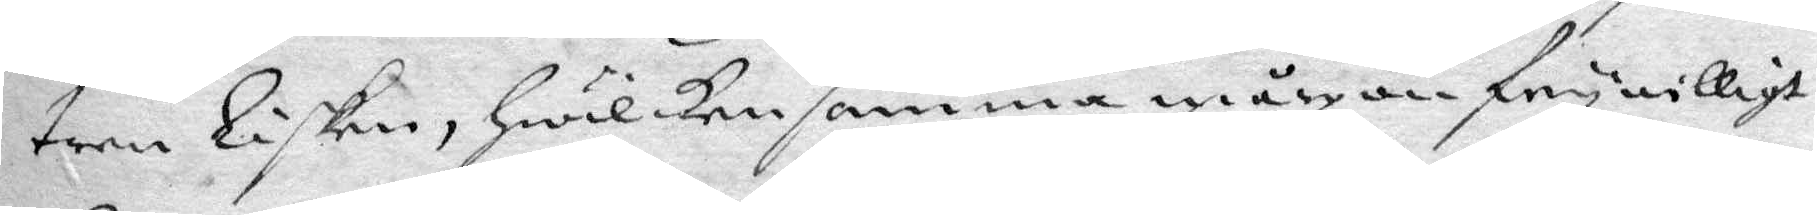tren Lisken, hwilken samma mårgon frywilligt
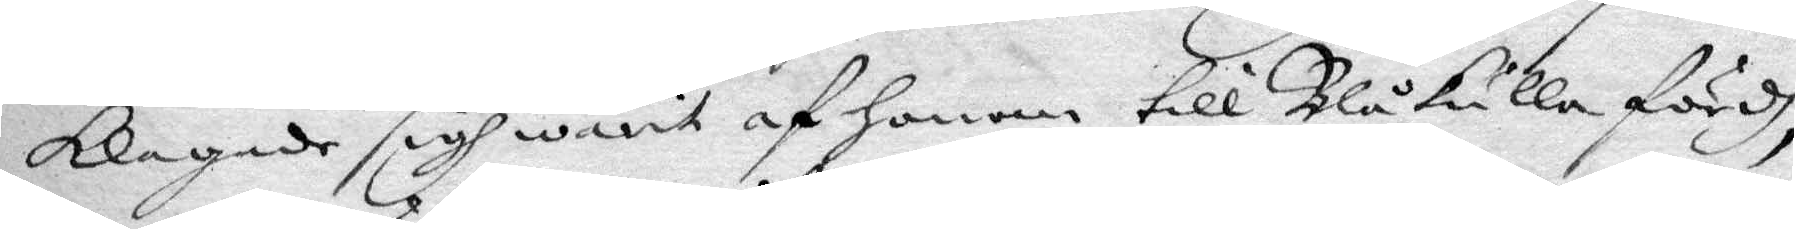klagade sigh warit af honom till Blåkulla fördh,
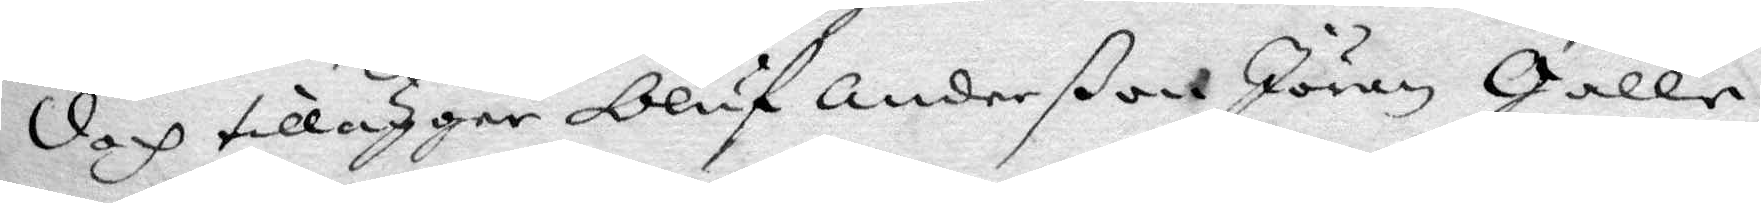doch tillägger Oluf Anderßon Jöran Galle
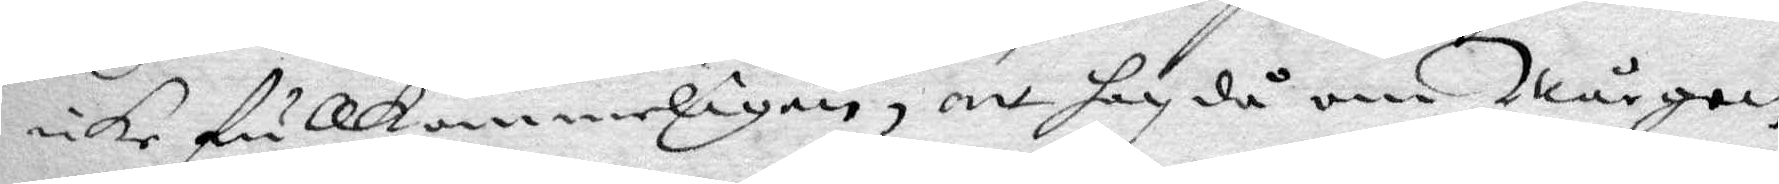icke fullkommeligen, att han då om mårgon
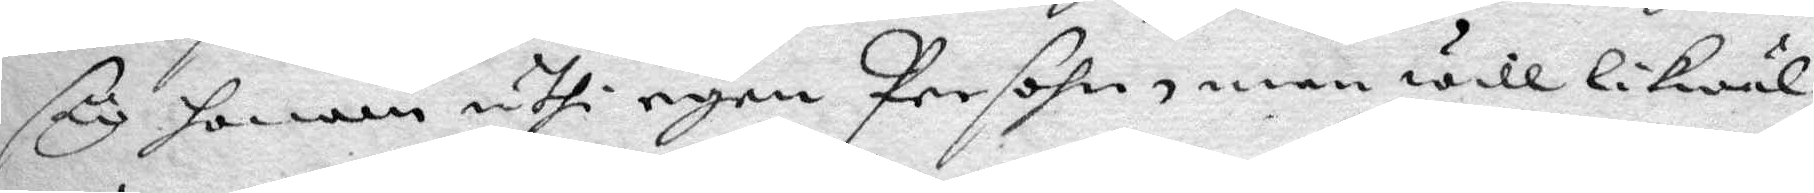såg honom uthi egen Persohn, men will likwäl
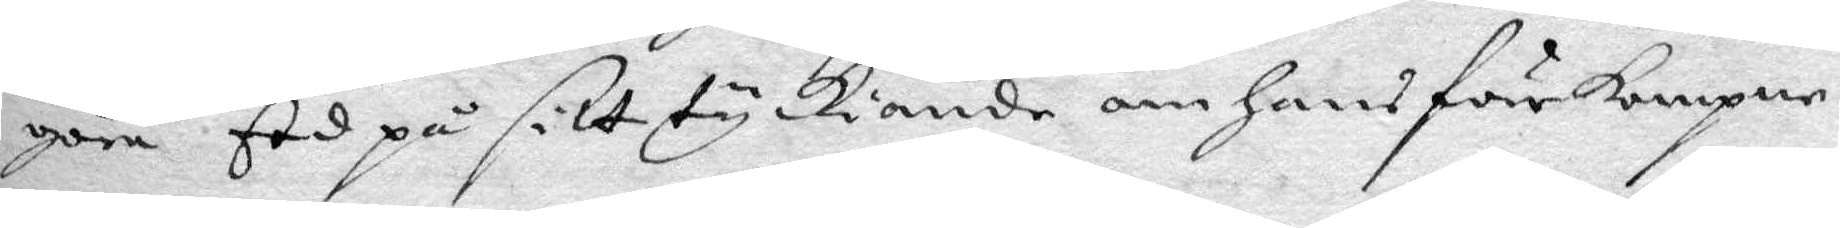göra Eed på sitt tyckiande om hans förkompne
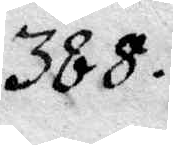388.
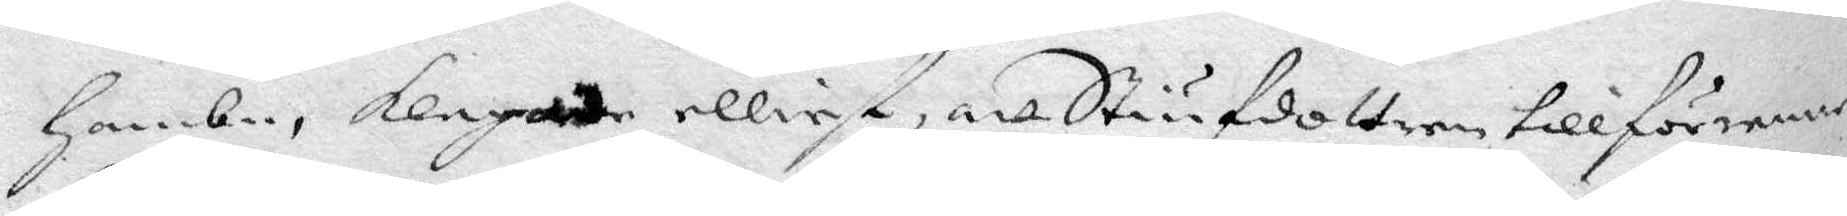hambn, klagade elliest, att Stiufdottren tillförenne
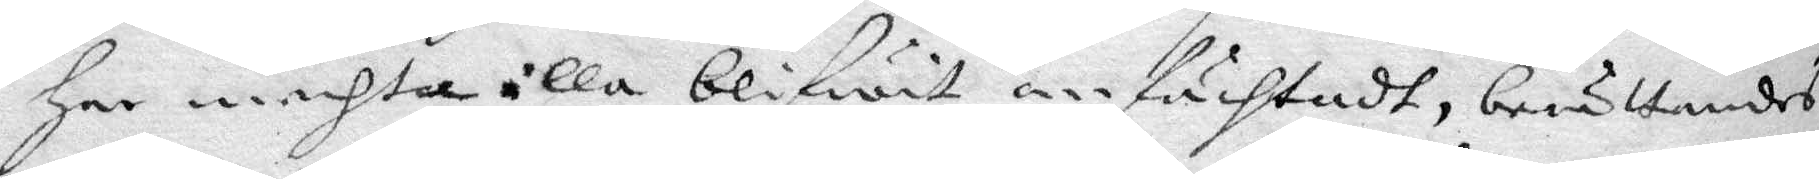har mechta illa blifwit anfächtadt, berättandes
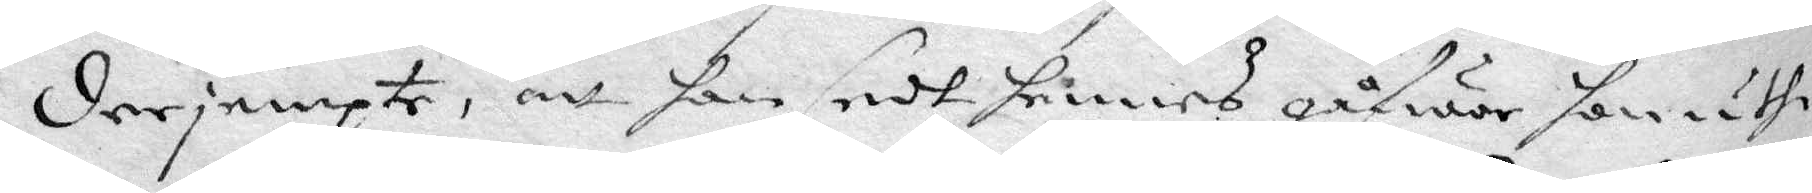derje,pte, att hon sedt hennes gåfwor somuthi
